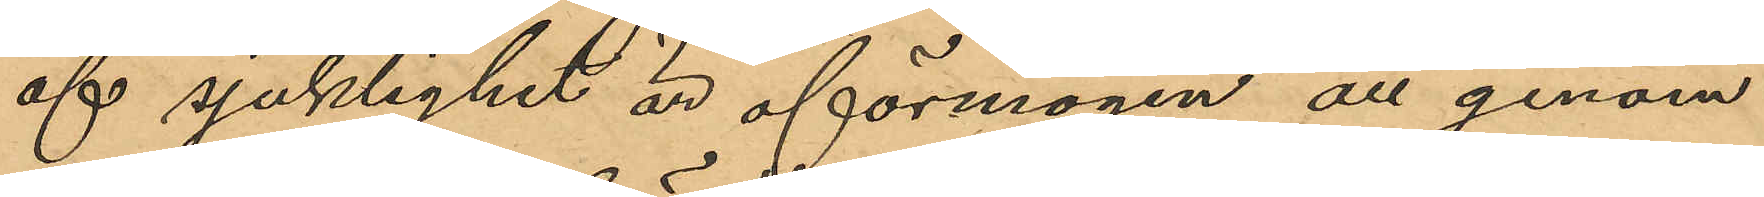af sjuklighet är oförmögen att genom
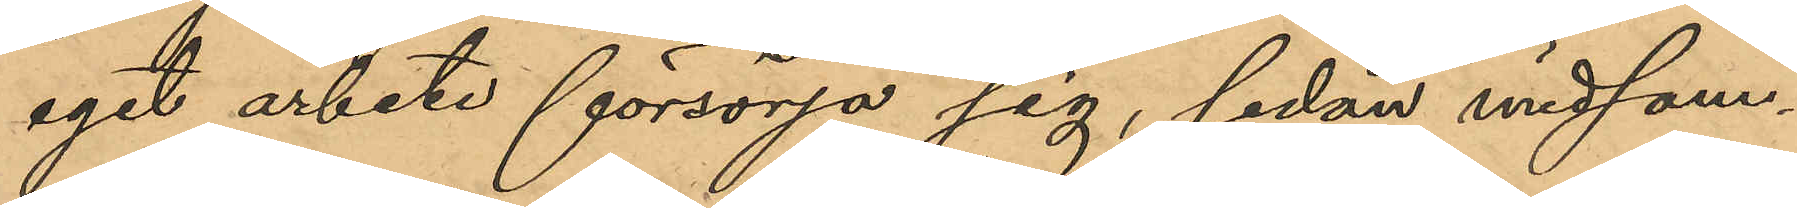eget arbete försörja sig, sedan midsom¬
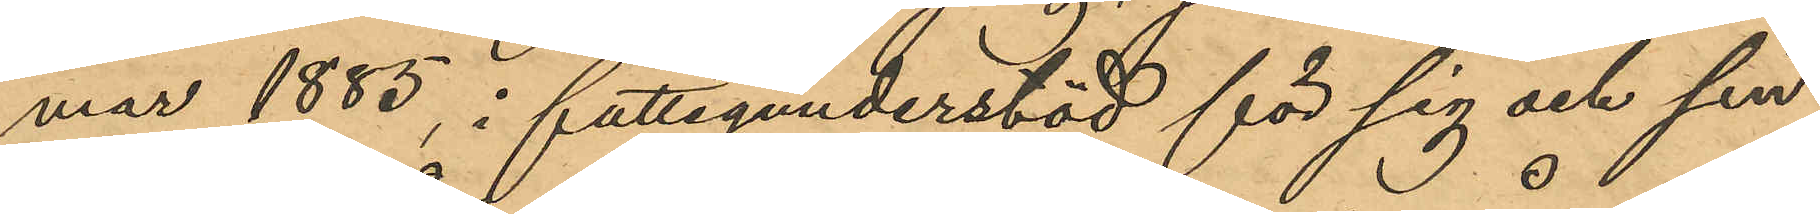mar 1885, i fattigunderstöd för sig och sin
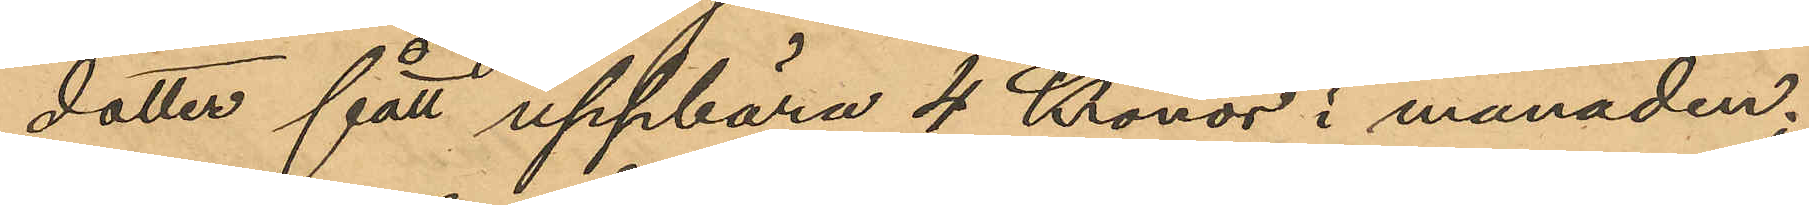dotter fått uppbära 4 Kronor i månaden;
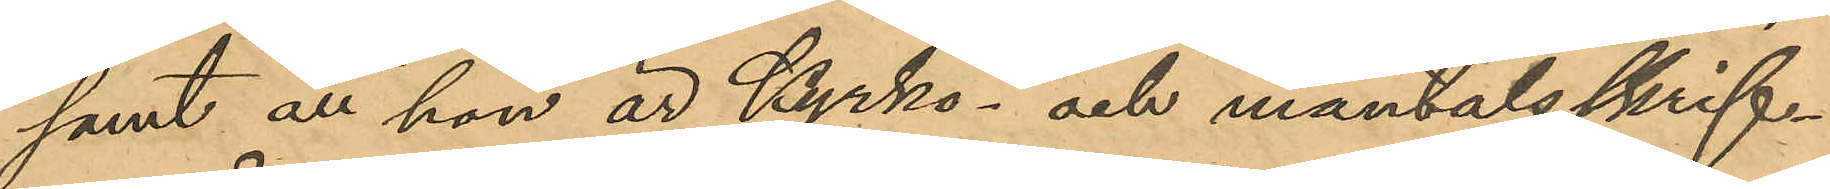samt att hon är kyrko- och mantalsskrif¬
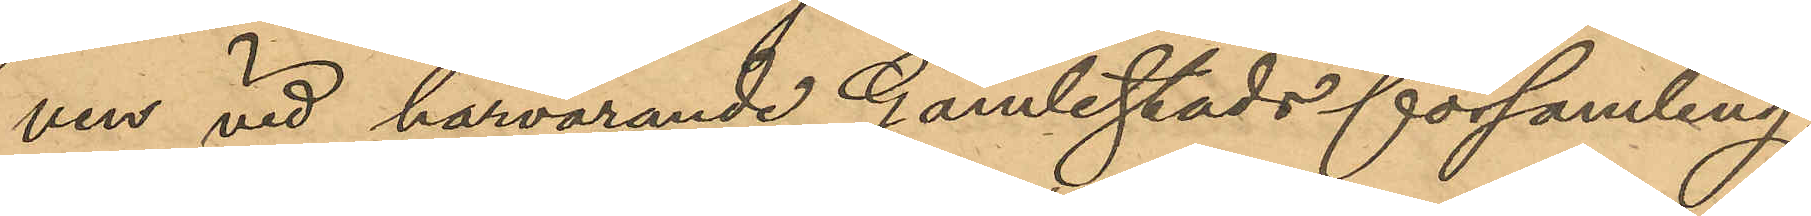ven vid härvarande Gamlestads församling.
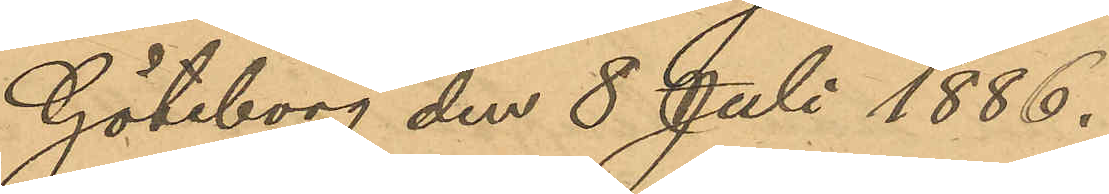Göteborg den 8 Juli 1886.
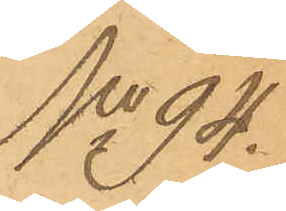No 94.
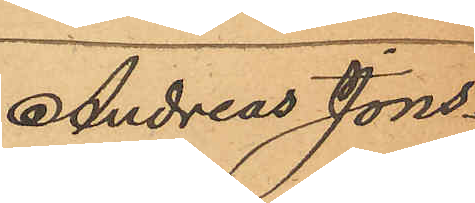Andreas Jons¬
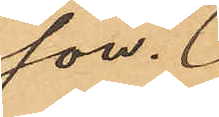son.
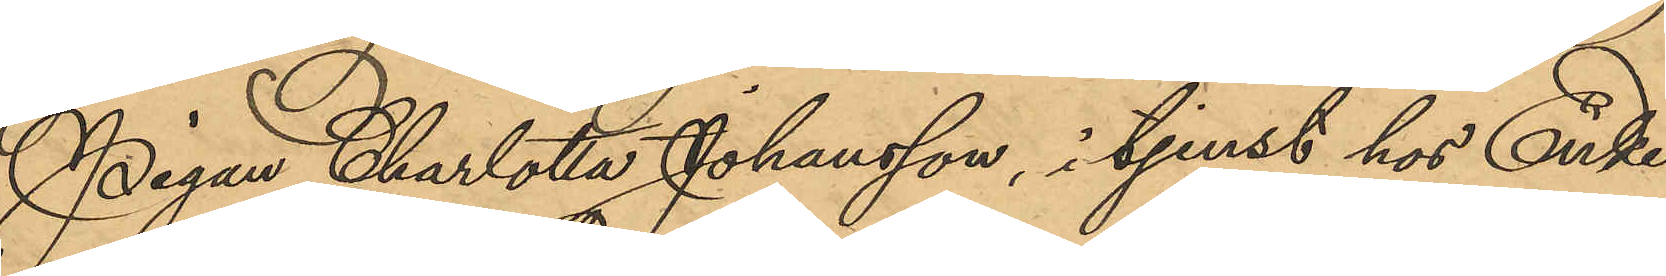Pigan Charlotta Johansson, i tjenst hos Enke¬
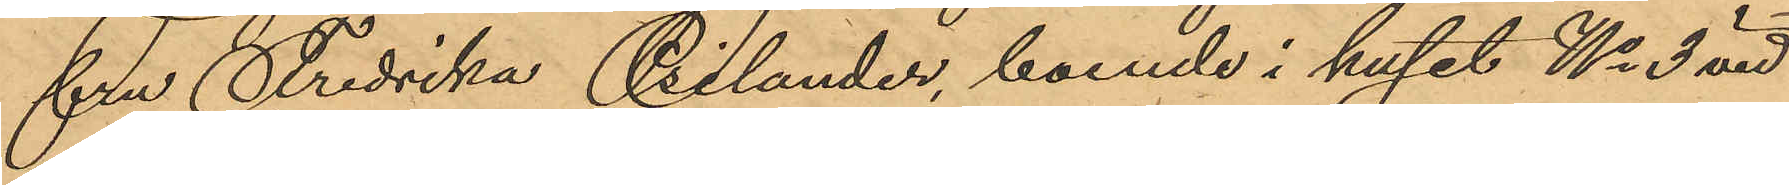fru Fredrika Psilander, boende i huset No 3 vid
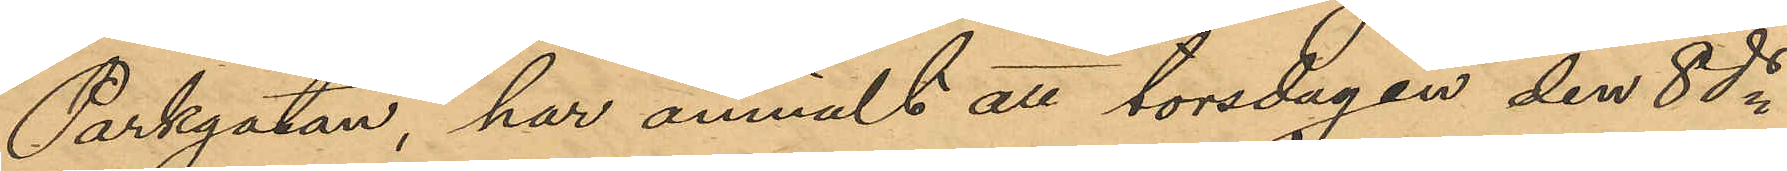Parkgatan, har anmält att torsdagen den 8 ds
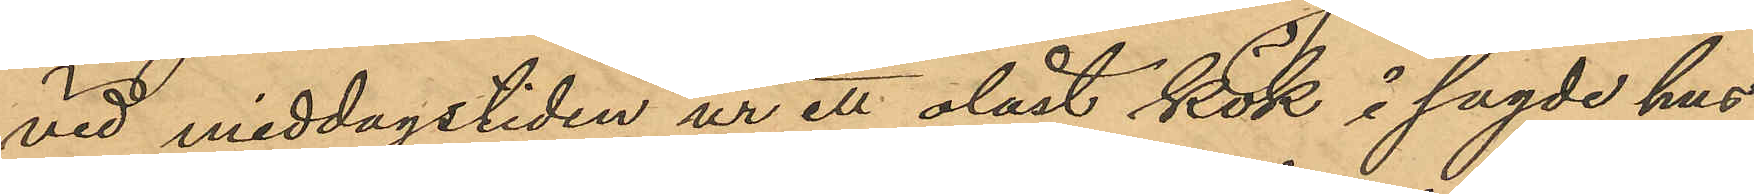vid middagstiden ur ett olåst kök i sagde hus
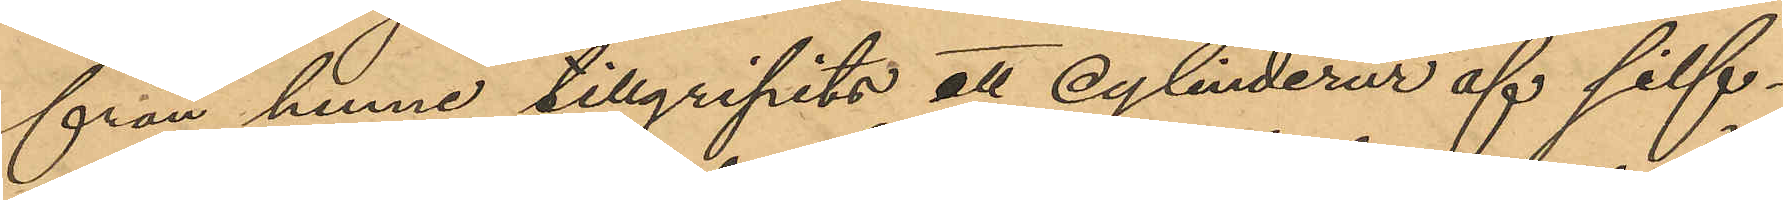från henne tillgripits ett cylinderur af silf¬
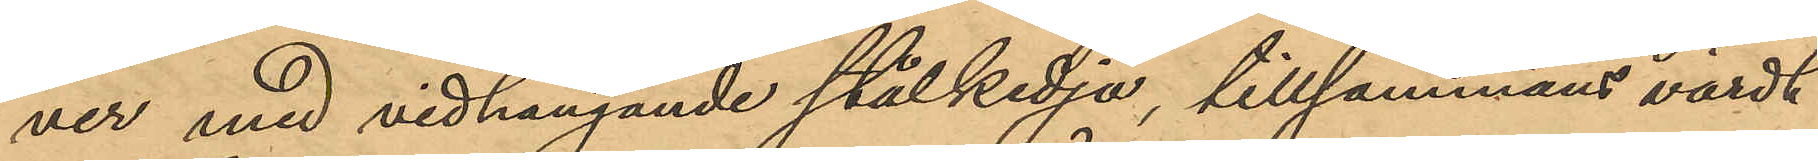ver med vidhängande stålkedja, tillsammans värdt
